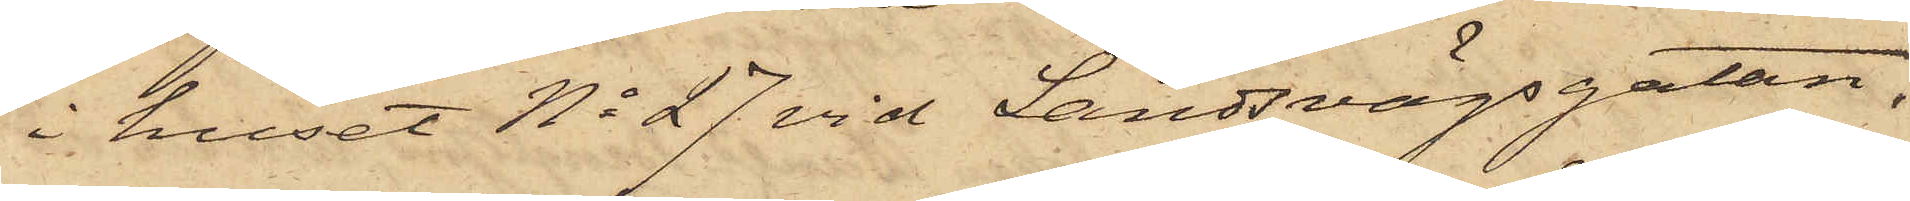i huset No 27 vid Landsvägsgatan,
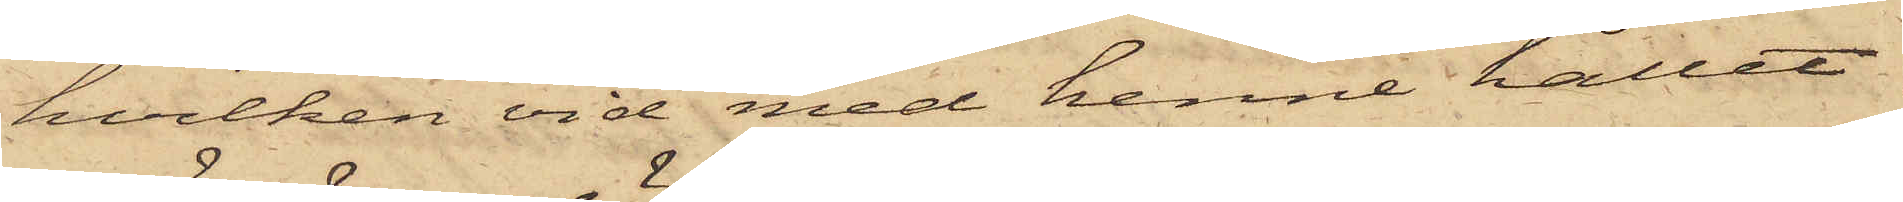hvilken vid med henne hållet
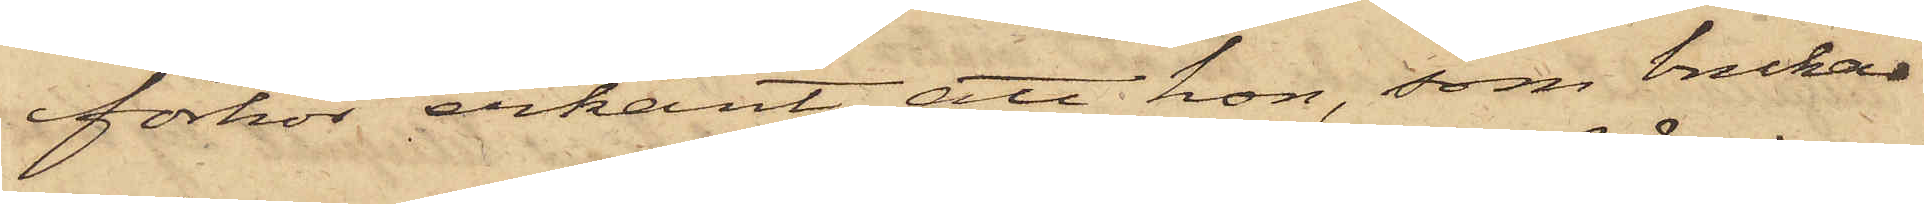förhör erkänt, att hon, som brukar
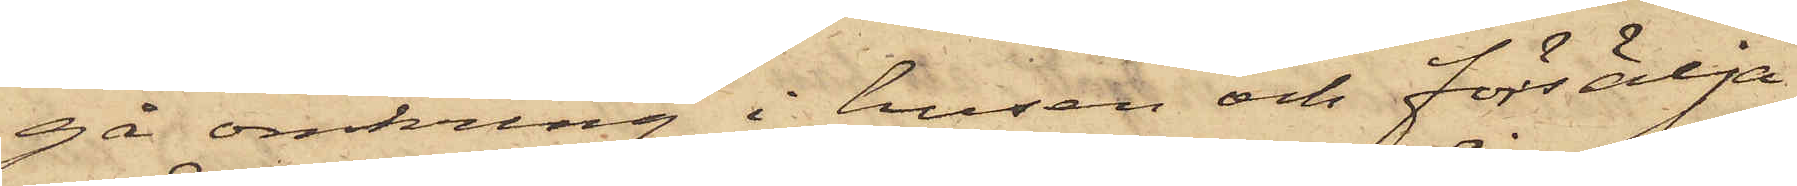gå omkring i husen och försälja
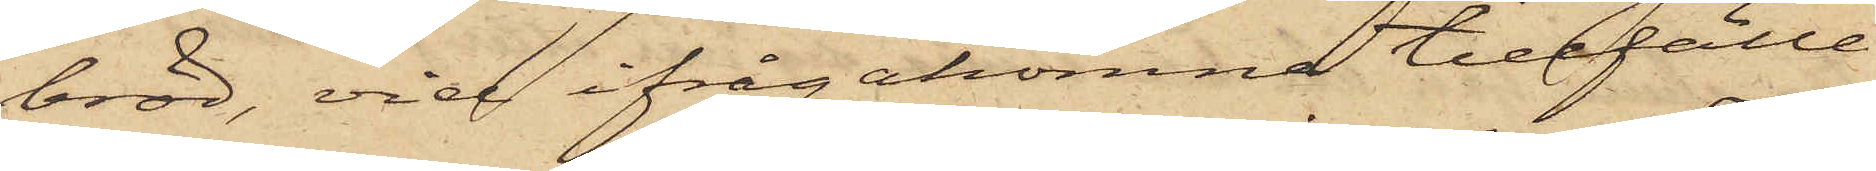bröd, vid ifrågakomne tillfälle
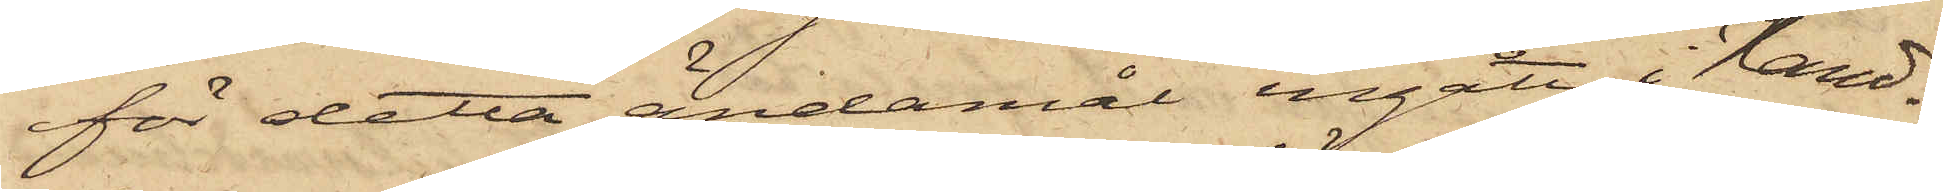för detta ändamål ingått i Hand¬
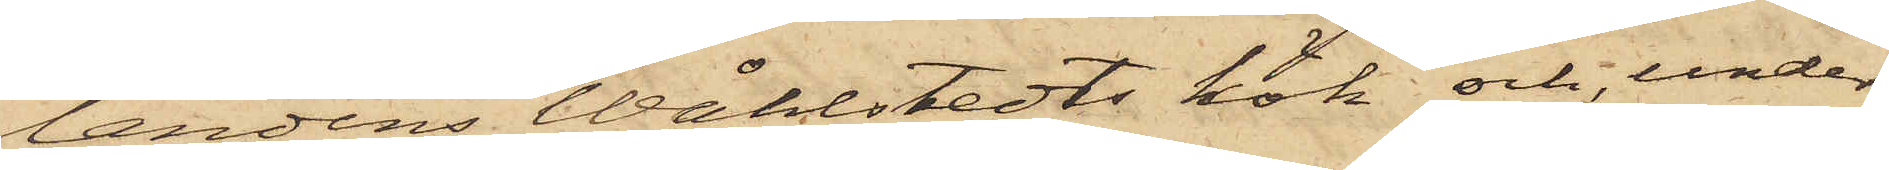landens Wåhlstedts kök och, under
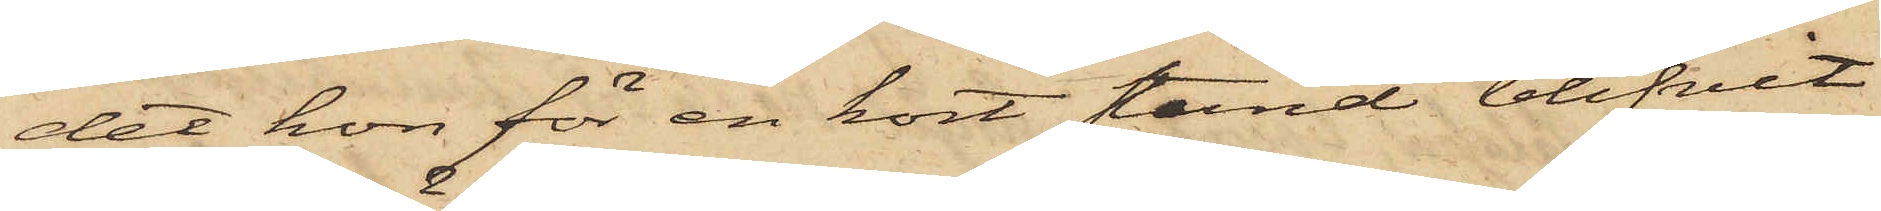det hon för en kort stund blifvit
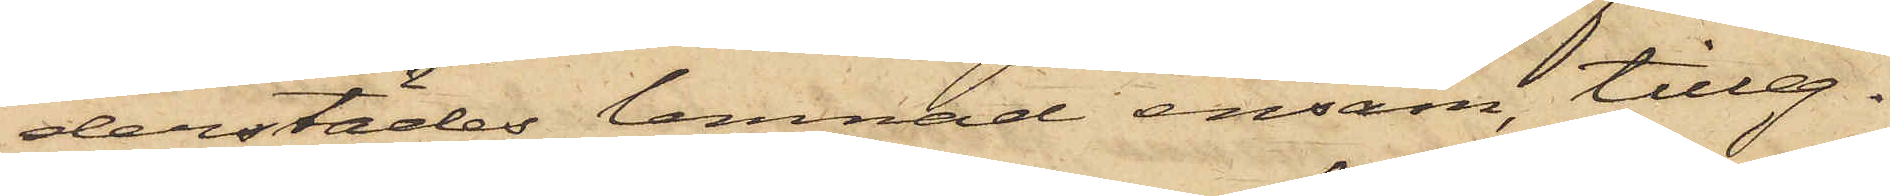derstädes lemnad ensam, tilleg¬
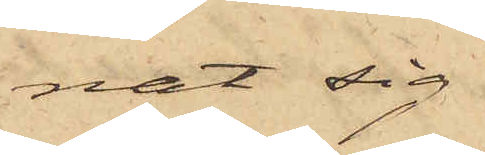nat sig
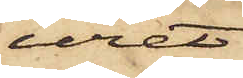uret,
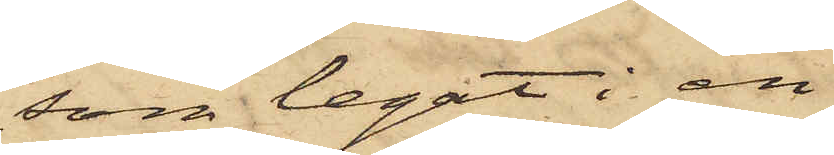som legat i en
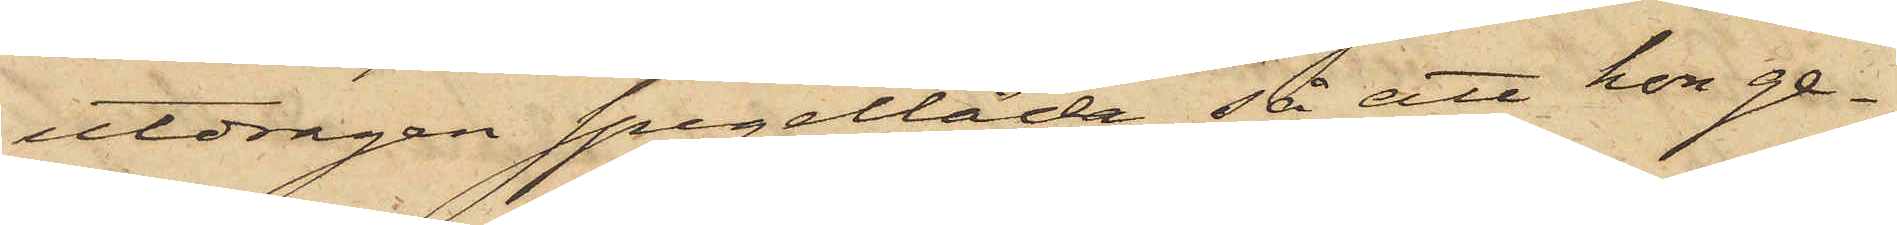utdragen spegellåda, så att hon ge¬
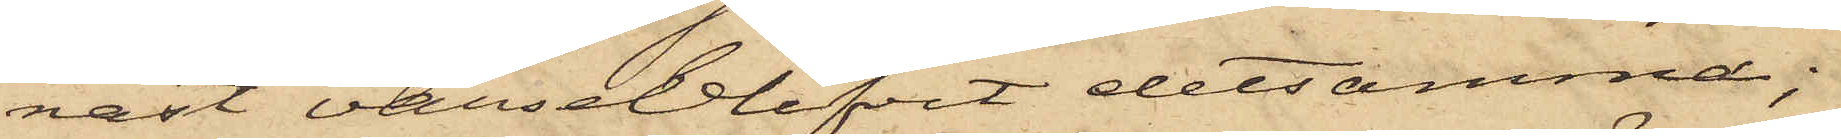nast varseblifvit detsamma;
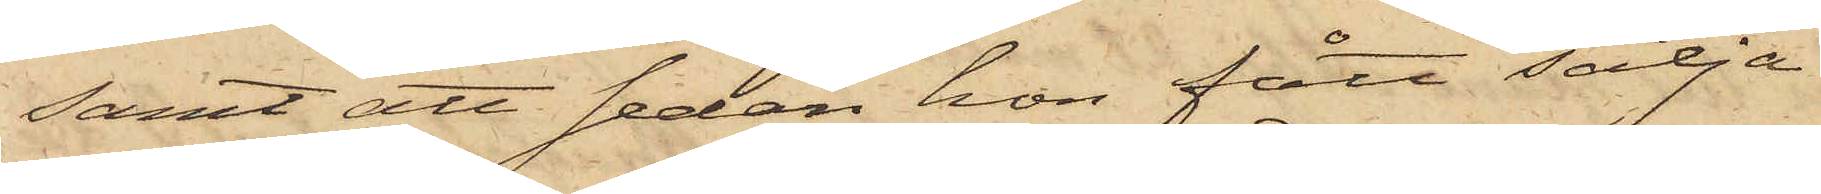samt att sedan hon fått sälja
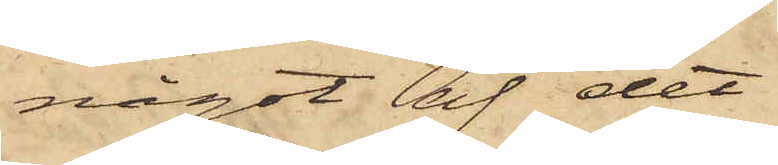något af det
